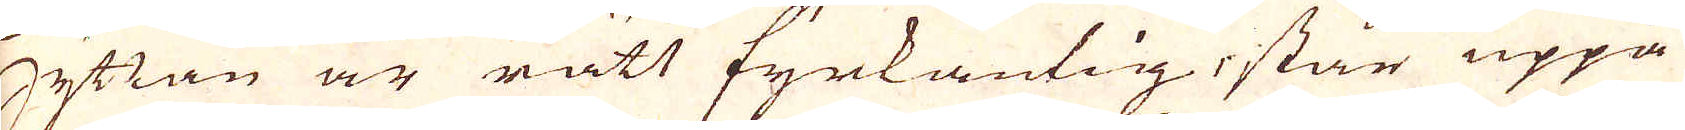Hyttan är rått fyrkantig, står uppå
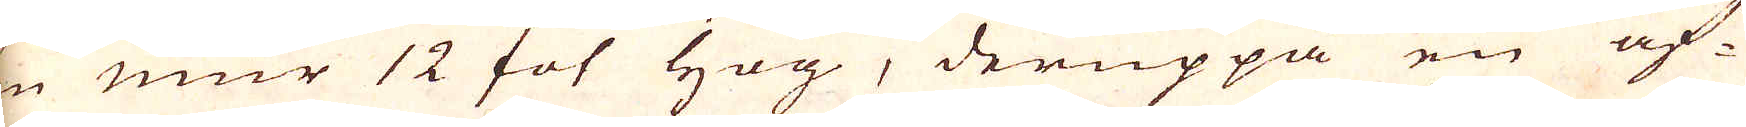en mur 12 fot hög, deruppå en af-
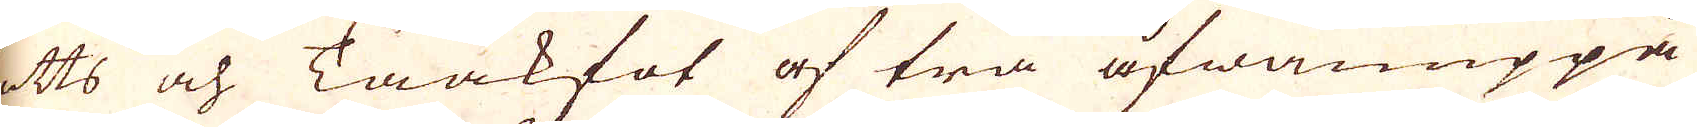satts och Taakfot af trä åfwanuppå
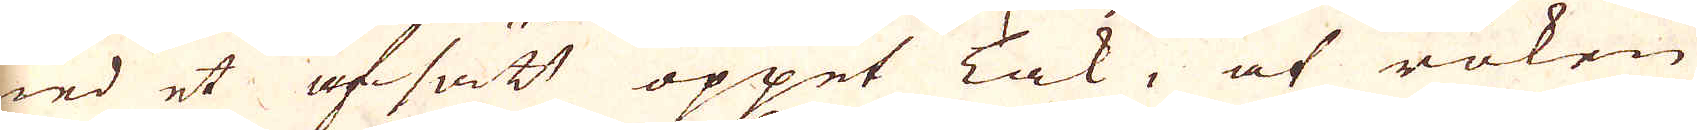med et afsätt öppet Tak, at röken
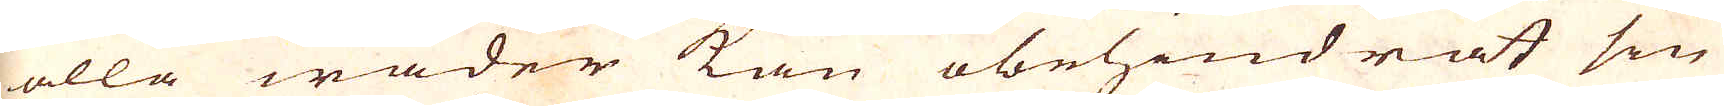i alla wäder kan obehindrat sin
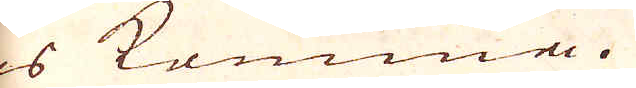kos kommma.
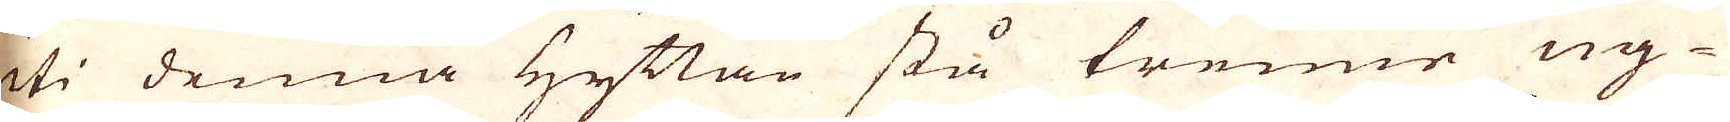Uti denna Hyttan stå trenne ug-
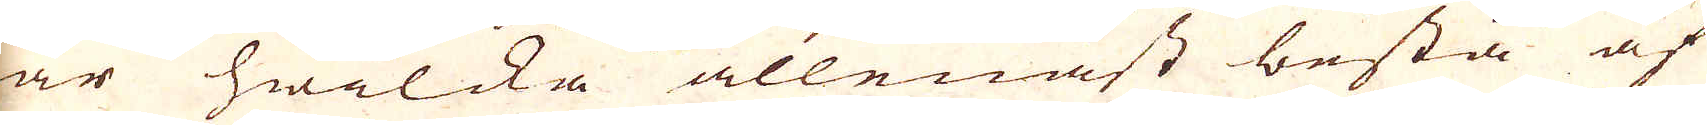nar hwilcka allenast bestå af
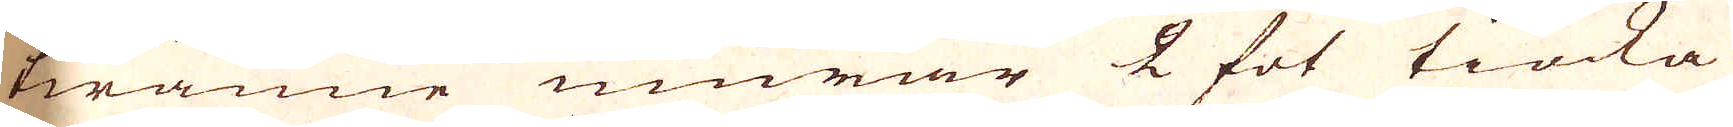twänne munnar 2 fot tiocka
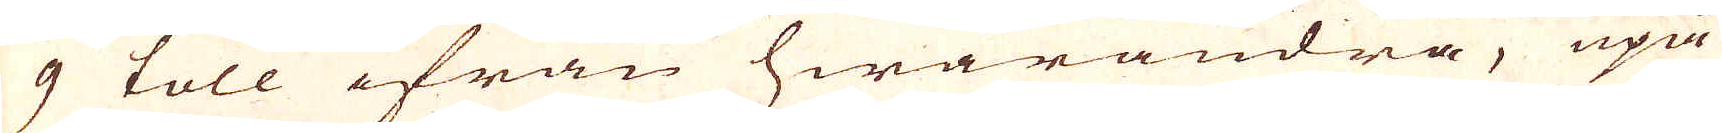och 9 toll ifrån hwarandra, upå
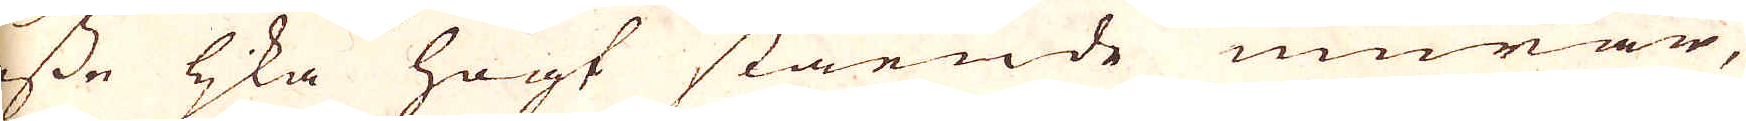desse lika högt stående murar,
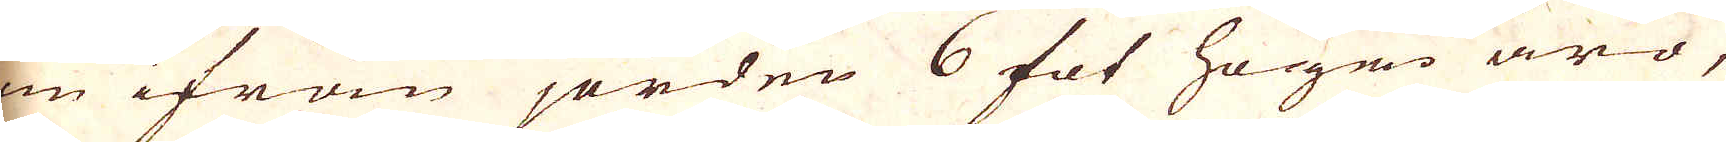som ifrån jorden 6 fot högre äro,
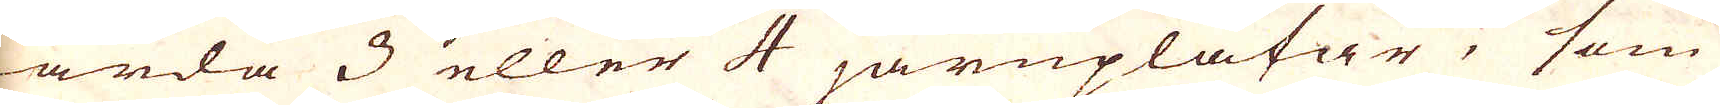warda 3 eller 4 järnplåtar, som
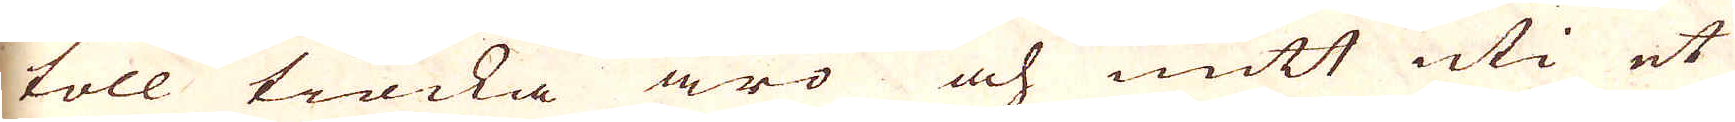2 toll tiocka äro och mitt uti et
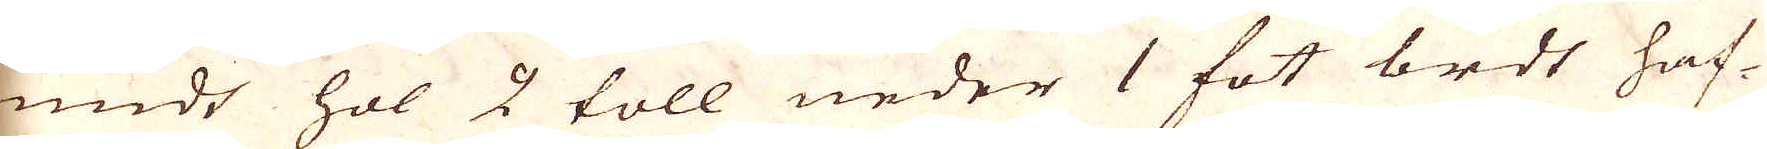rundt hol 2 toll neder 1 fot bredt haf-
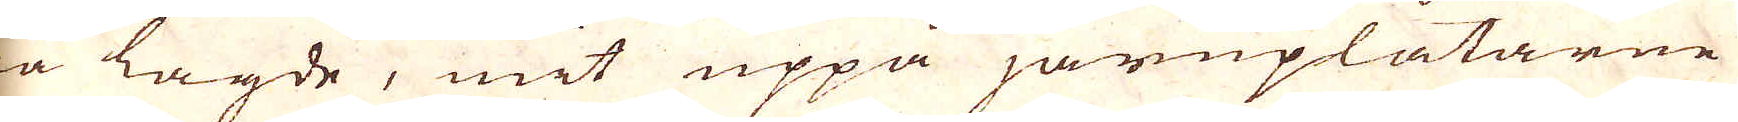wa lagde, mit uppå järnplåtarne
